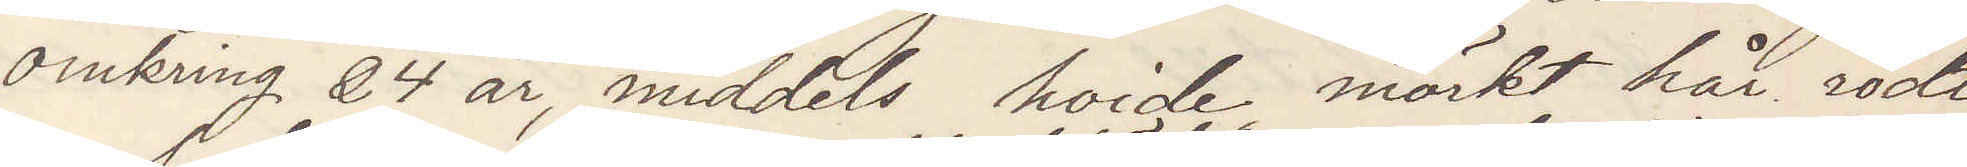omkring 24 år, middels hoide mörkt hår rödt
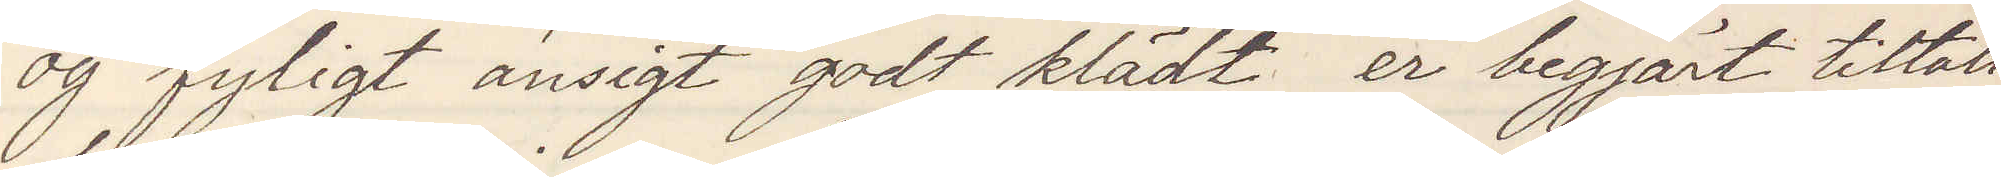og fyligt ansigt godt klädt er begjärt tiltalt
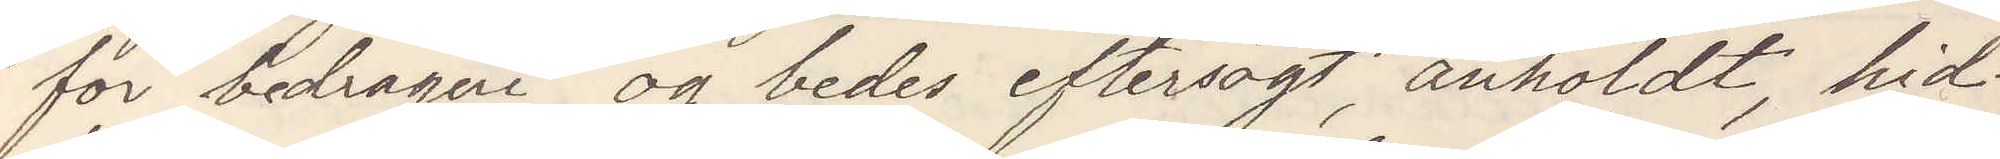for bedrageri og bedes eftersögt, anholdt hid¬
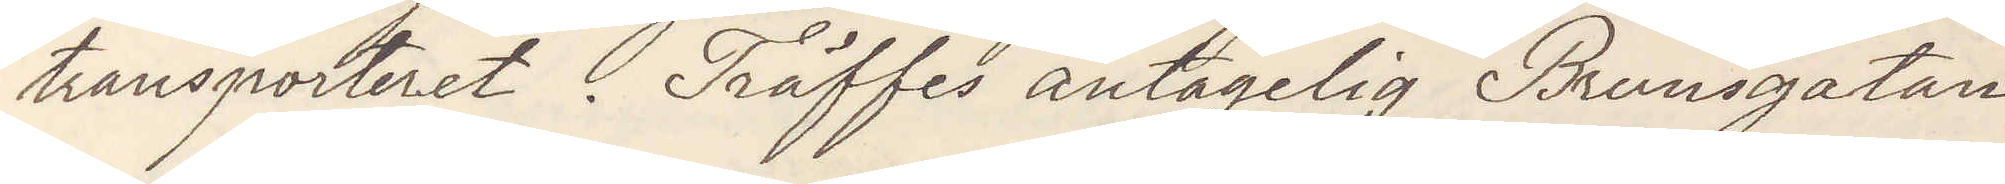transporteret. Träffas antagelig Brunsgatan
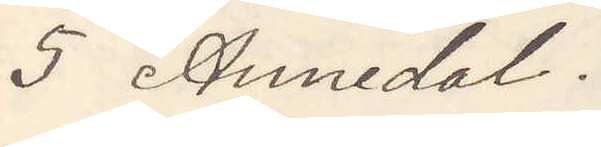5 Annedal.
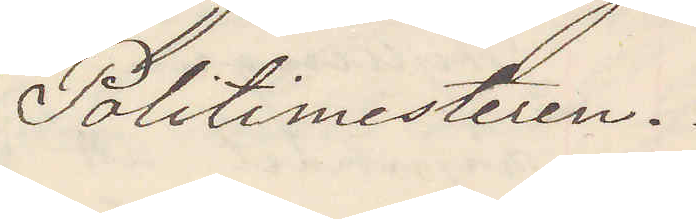Politimesteren.
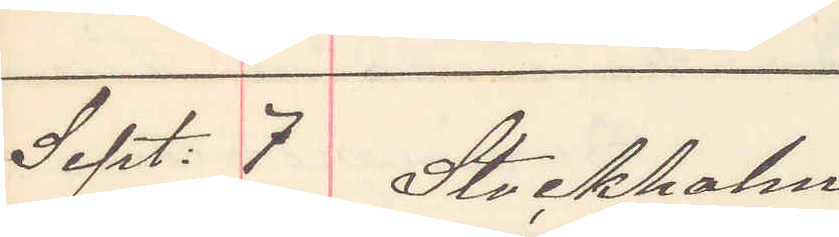Sept. 7 Stockholm
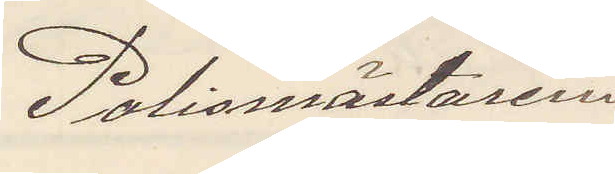Polismästaren 
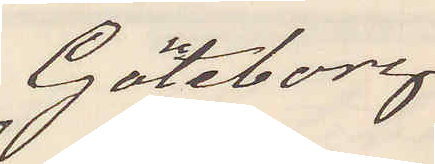Göteborg
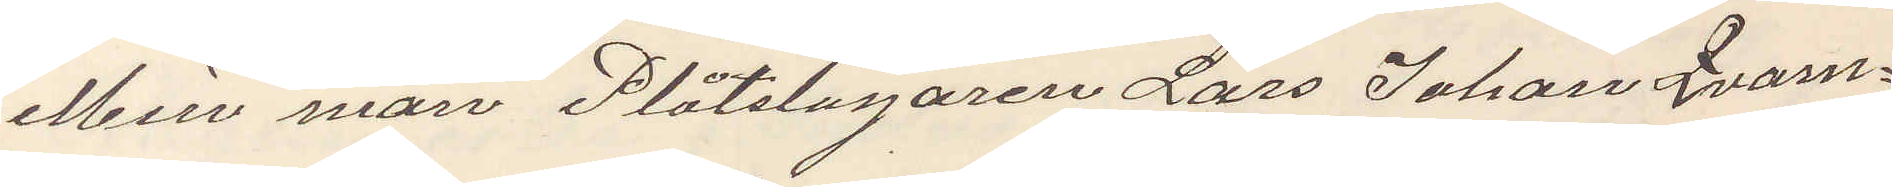Min man Plåtslagaren Lars Johan Qvarn¬
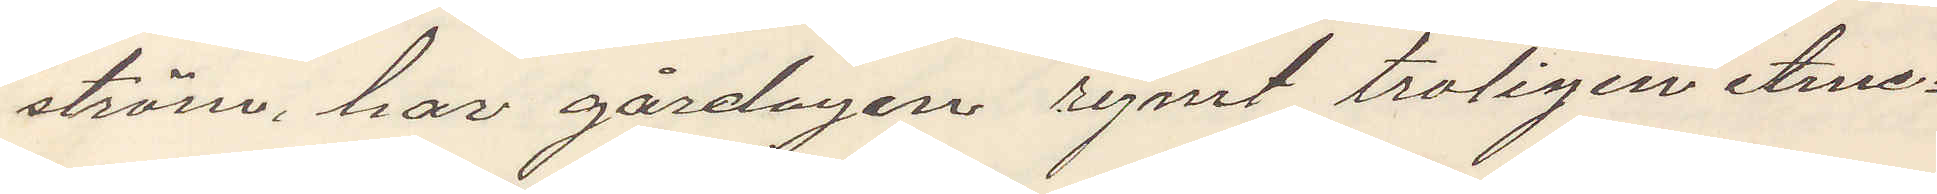ström har gårdagen rymt troligen Ame¬
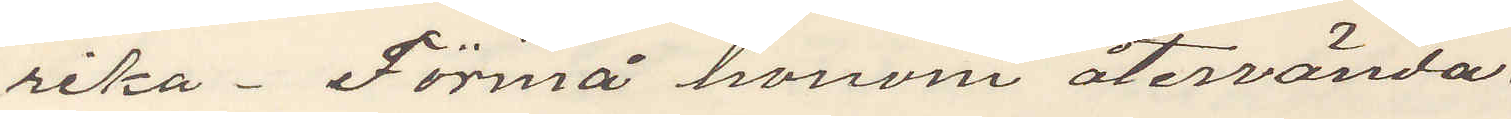rika. Förmå honom återvända.
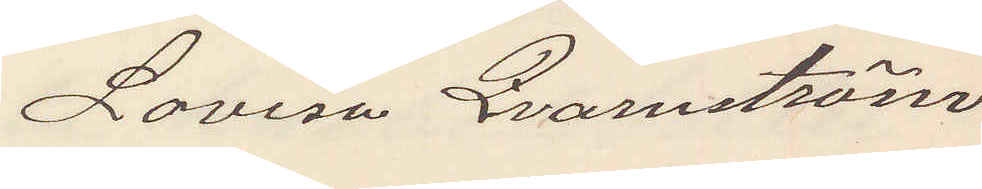Lovisa Qvarnström
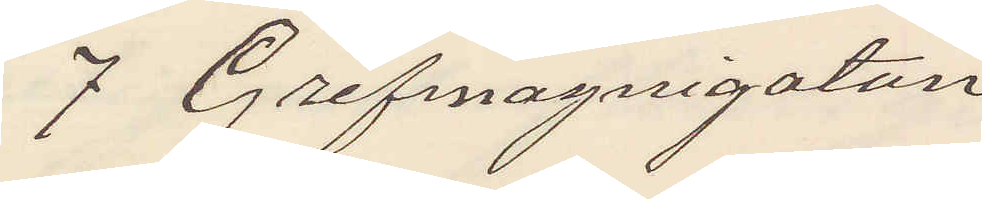7 Grefmagnigatan
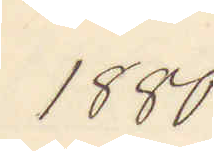1880.
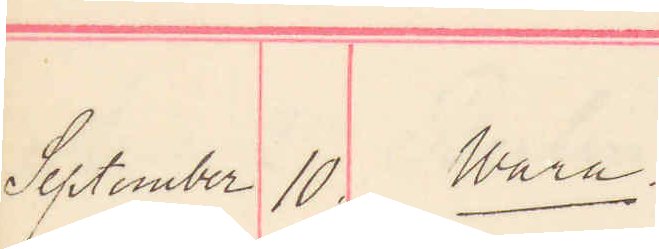September 10. Wara
